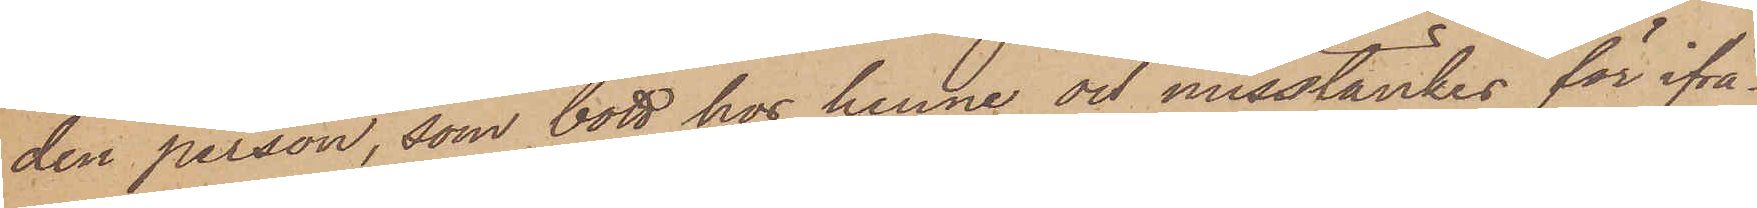den person, som bott hos henne och misstänkes för ifrå¬
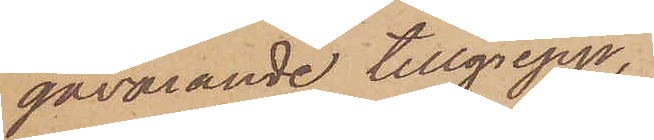gavarande tillgrepp;
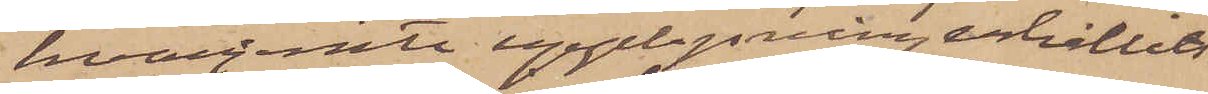hvarjemte upplysning erhållits,
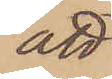att
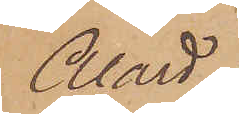Alard
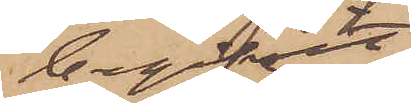begifvit
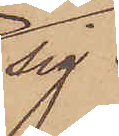sig
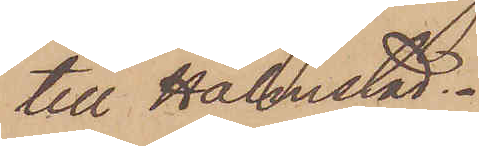till Halmstad.
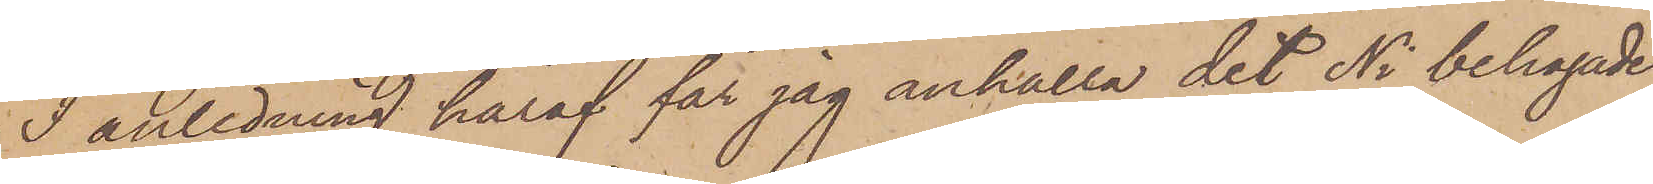I anledning häraf får jag anhålla det Ni behagade
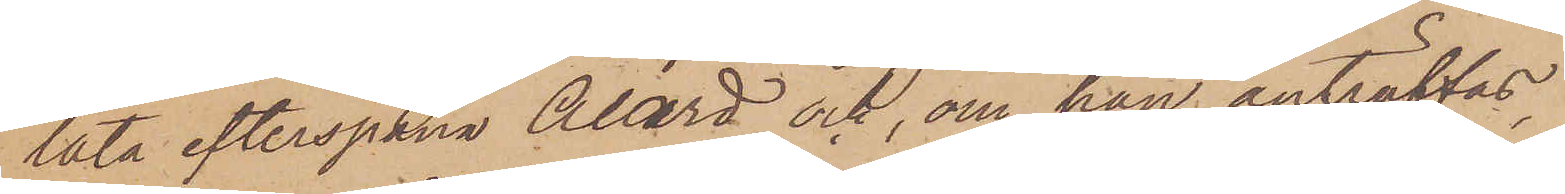låta efterspana Alard och, om han anträffas,
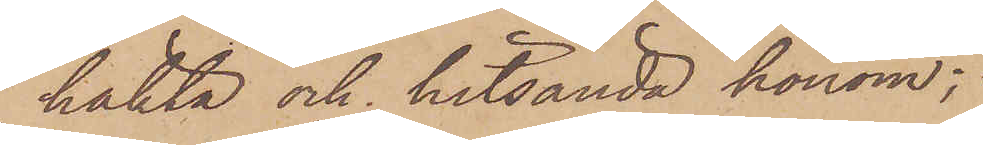häkta och hitsända honom;
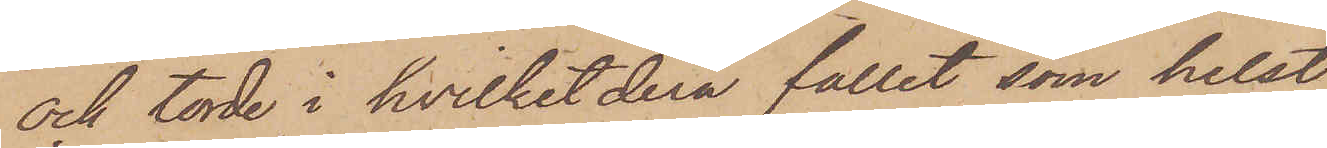och torde i hvilketdera fallet som helst,
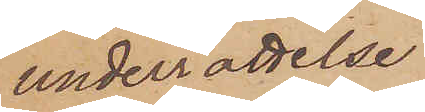underrättelse
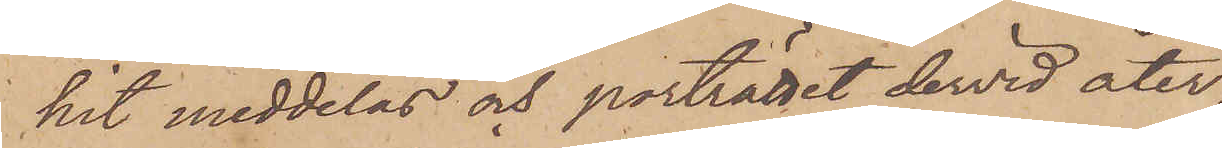hit meddelas och porträttet dervid åter¬
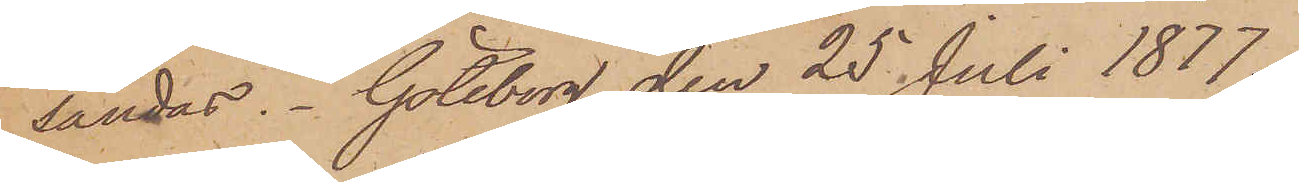sändas. Göteborg den 25 Juli 1877.
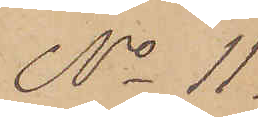No 11.
